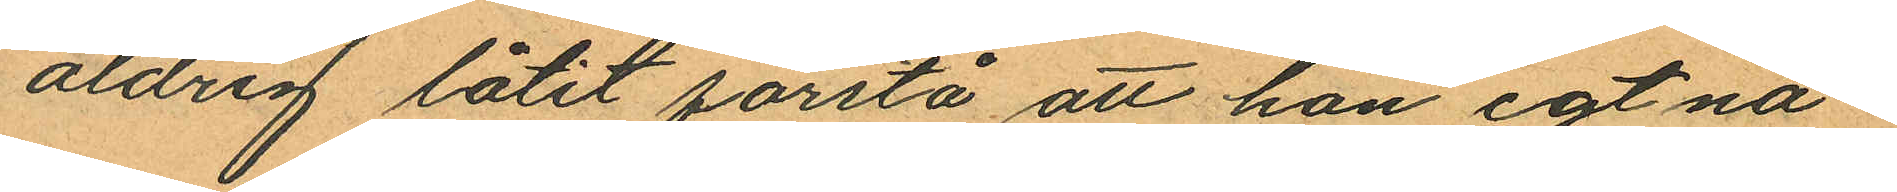aldrig låtit förstå att han egt nå¬
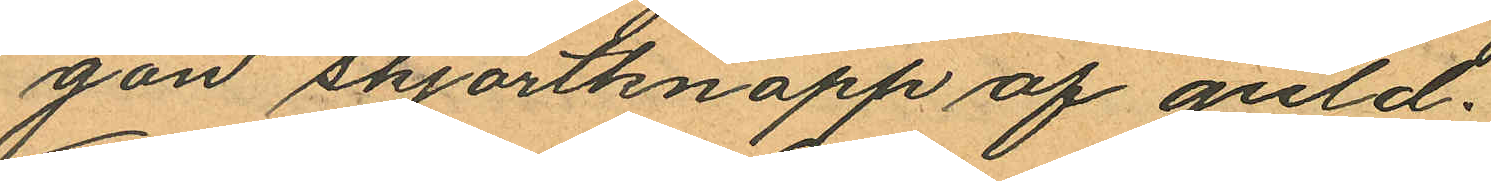gon skjortknapp af guld.
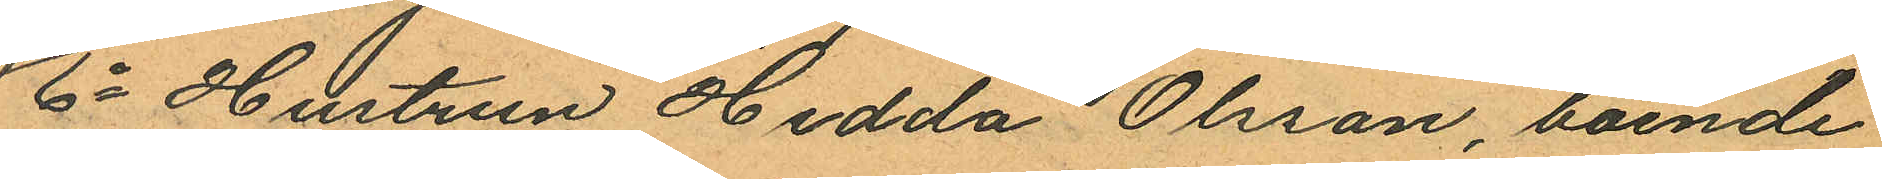6o Hustrun Hedda Olsson, boende
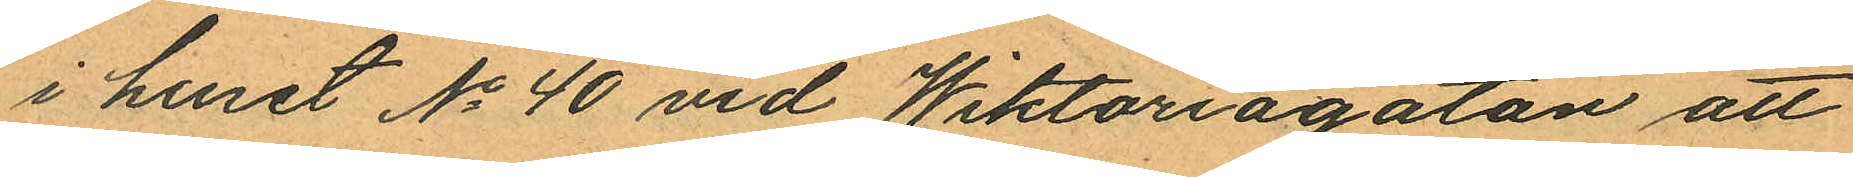i huset No 40 vid Wiktoriagatan att
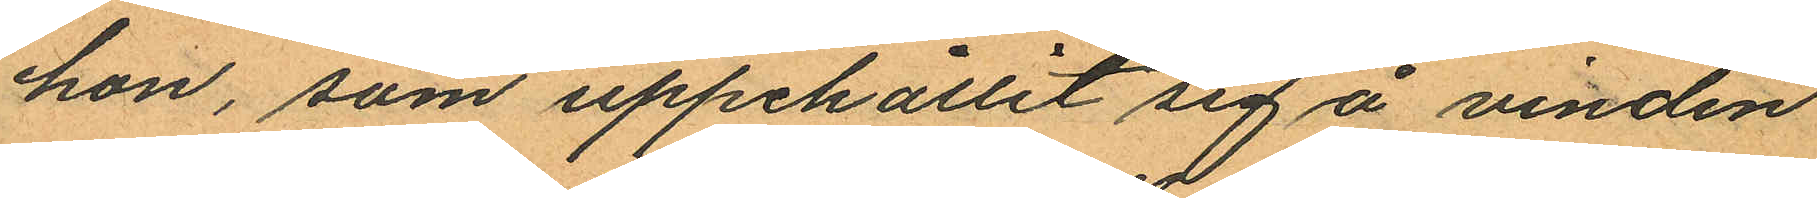hon, som uppehållit sig å vinden
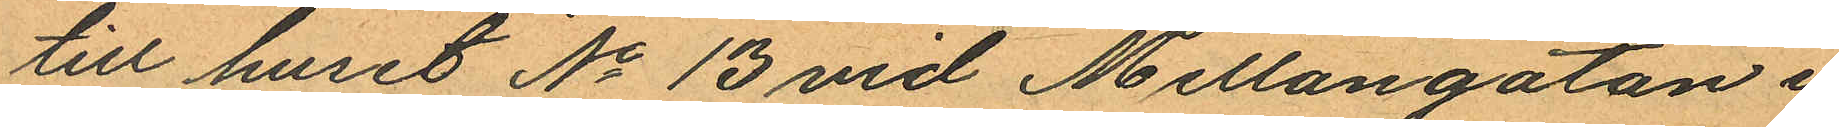till huset No 13 vid Mellangatan i
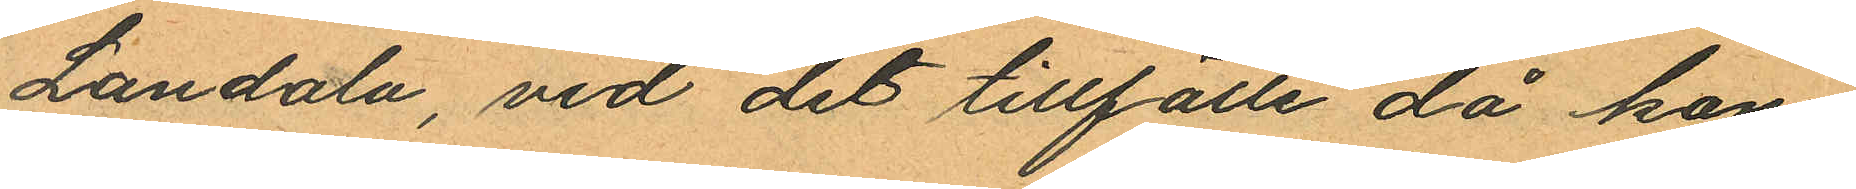Landala, vid det tillfälle då kon¬
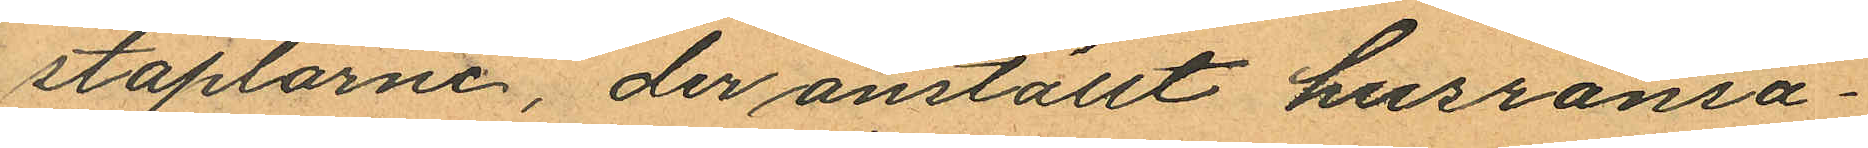staplarne, der anställt husransa¬
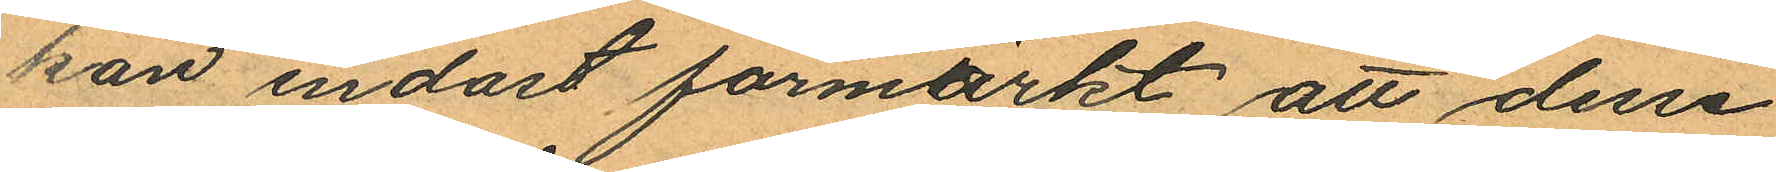kan endast förmärkt att dessa
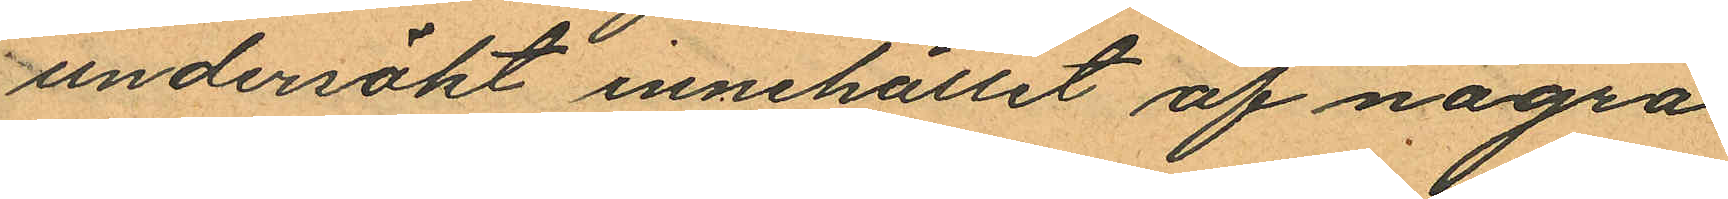undersökt innehållet af några
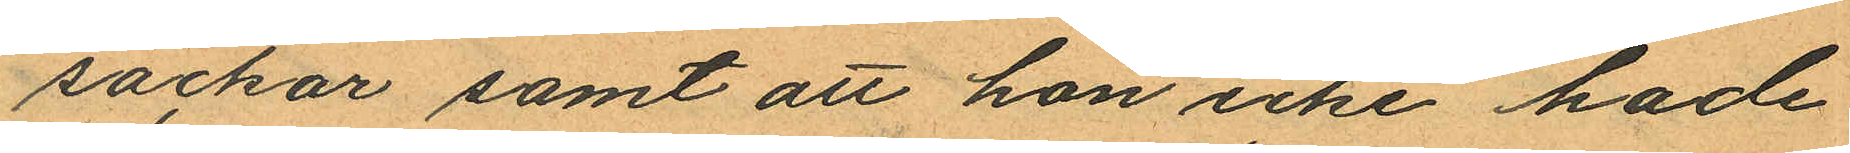säckar samt att hon icke hade
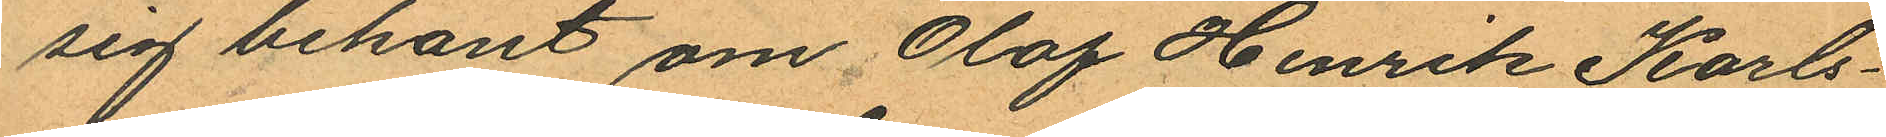sig bekant om Olof Henrik Karls¬
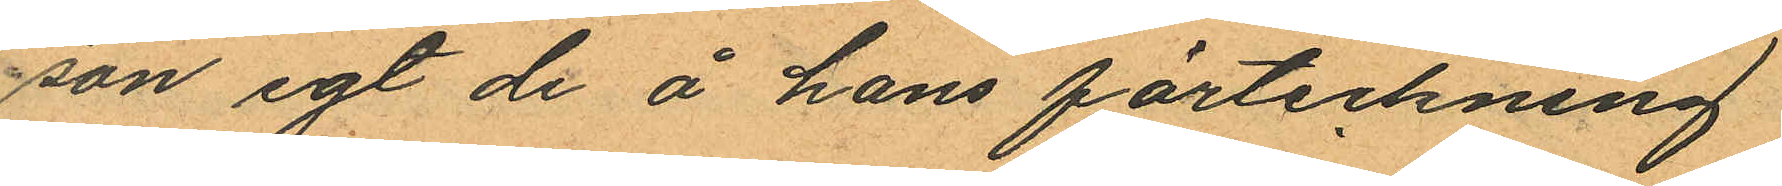son egt de å hans förteckning
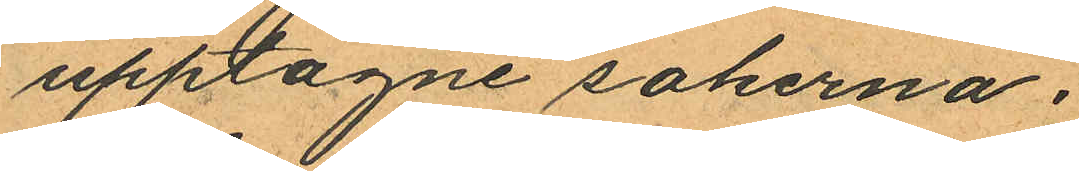upptagne sakerna.
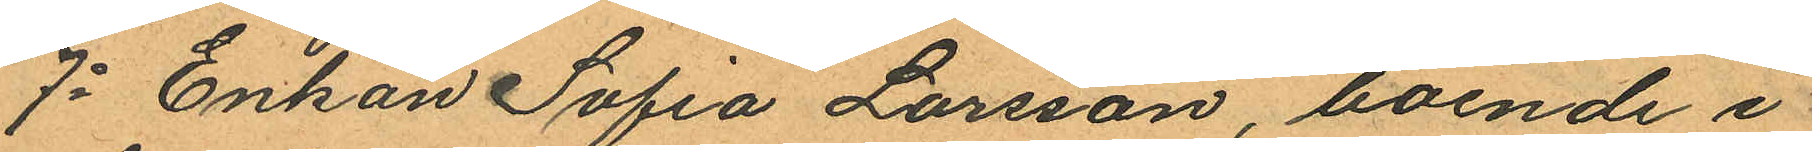7o Enkan Sofia Larsson, boende i
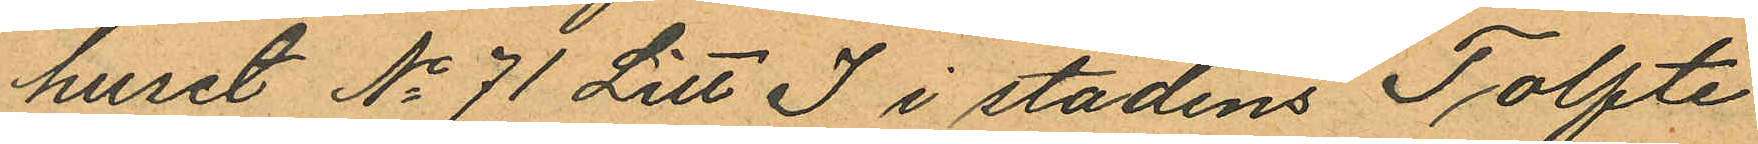huset No 71 Litt I i stadens Tolfte
